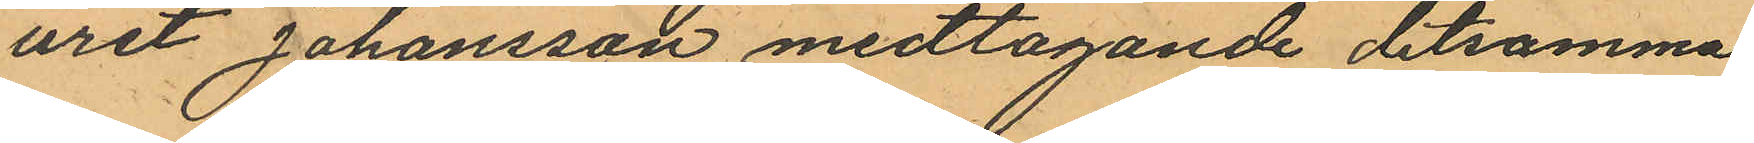uret Johansson medtagande detsamma
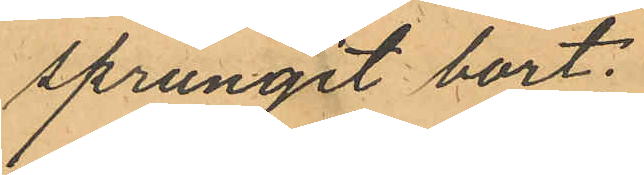sprungit bort;
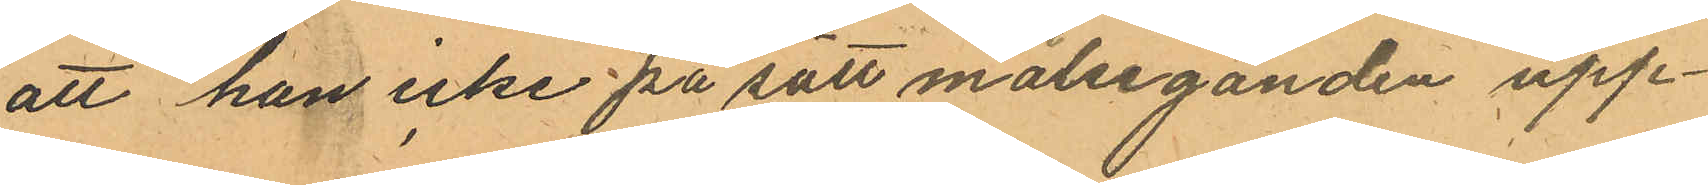att han icke på sätt målseganden upp¬
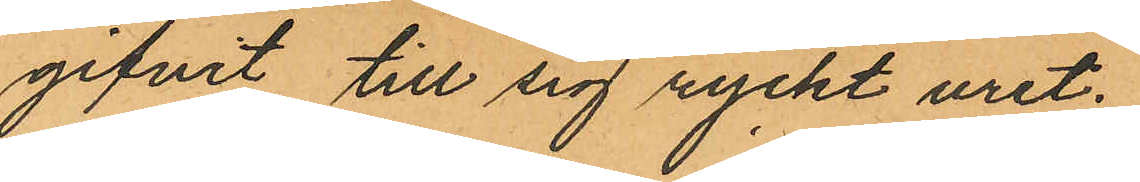gifvit till sig ryckt uret.
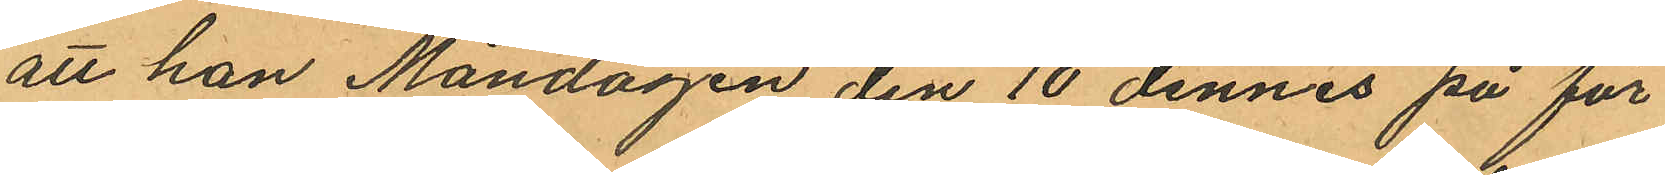att han Måndagen den 10 dennes på för
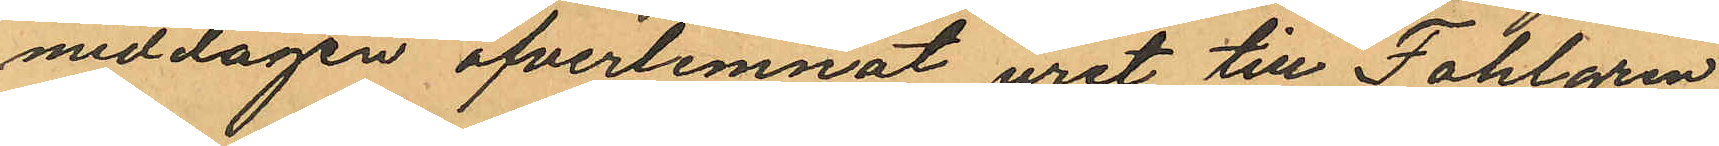middagen öfverlemnat uret till Fahlgren
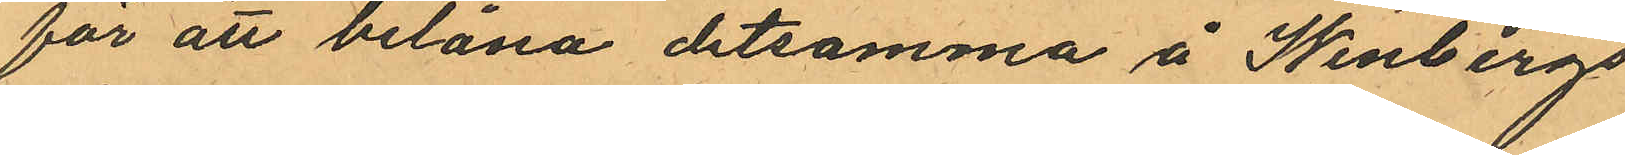för att belåna detsamma å Winbergs
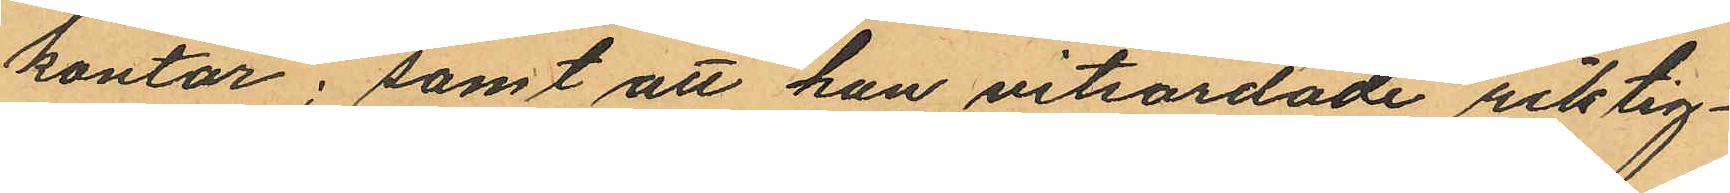kontor; samt att han vitsordade riktig¬
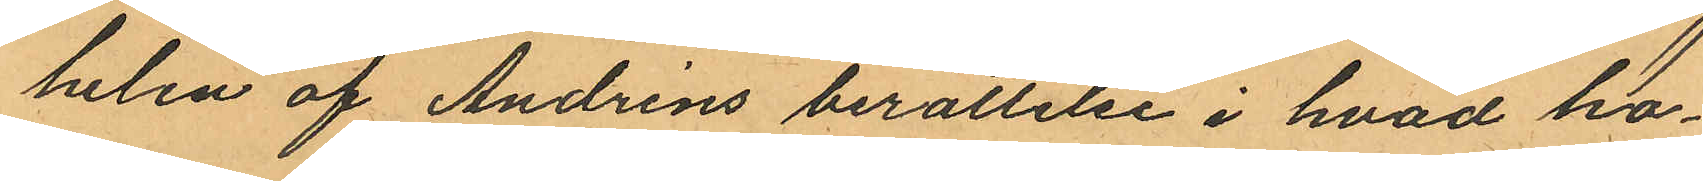helen af Andréns berättelse i hvad ho¬
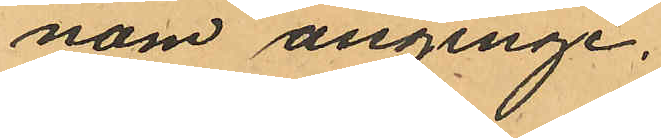nom anginge.
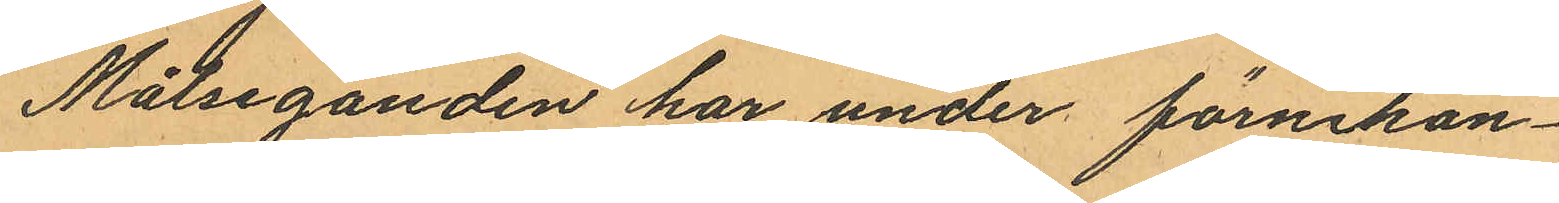Målseganden har under förnekan¬
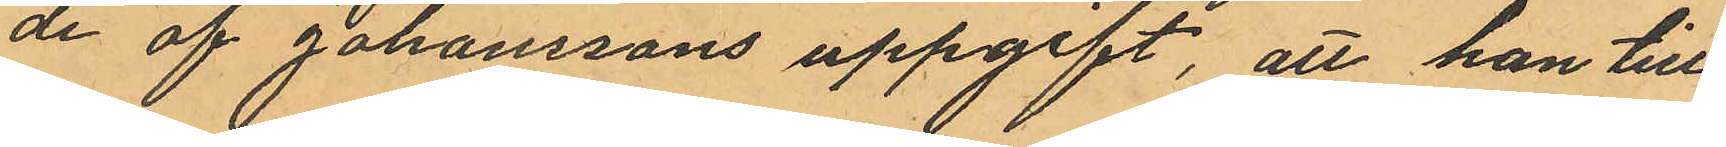de af Johanssons uppgift, att han till
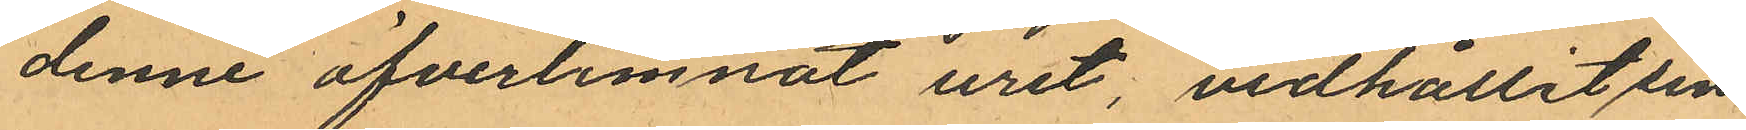denne öfverlemnat uret, vidhållit sin
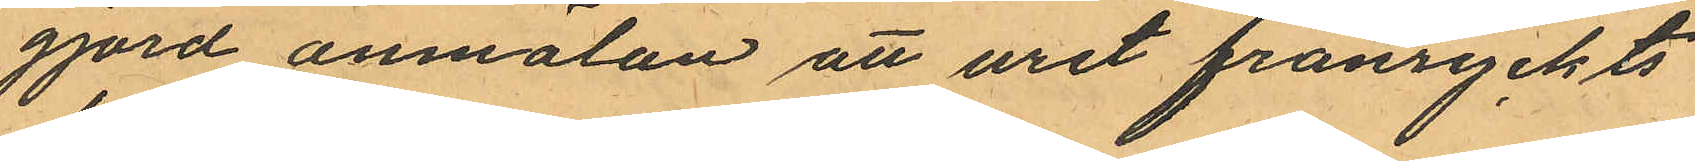gjord anmälan att uret frånryckts
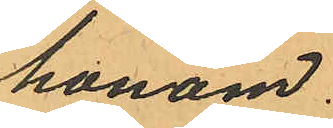honom.
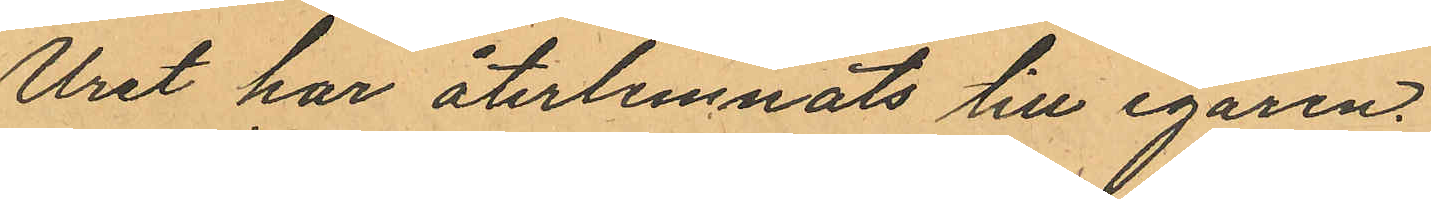Uret har återlemnats till egaren.
